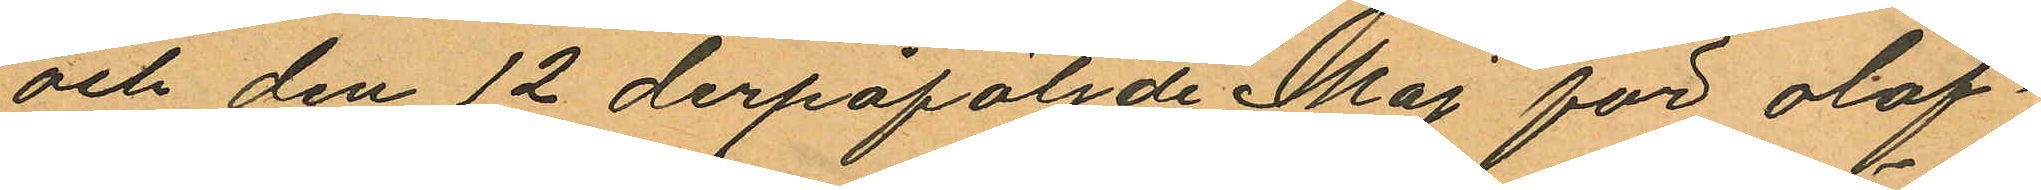och den 12 derpåföljde Maj för olof¬
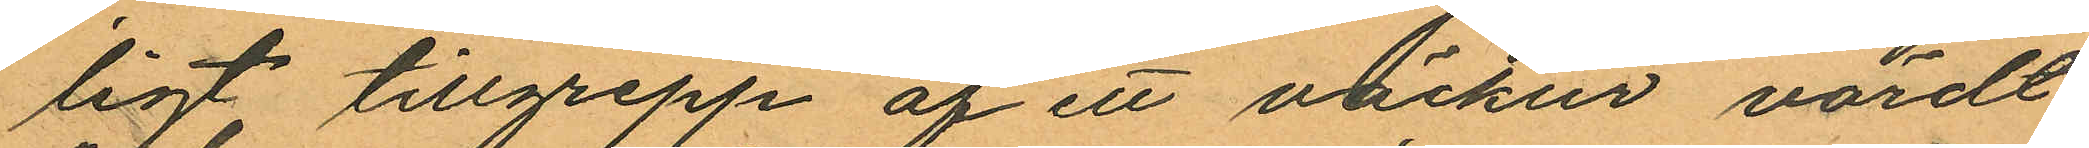ligt tillgrepp af ett väckur, värdt
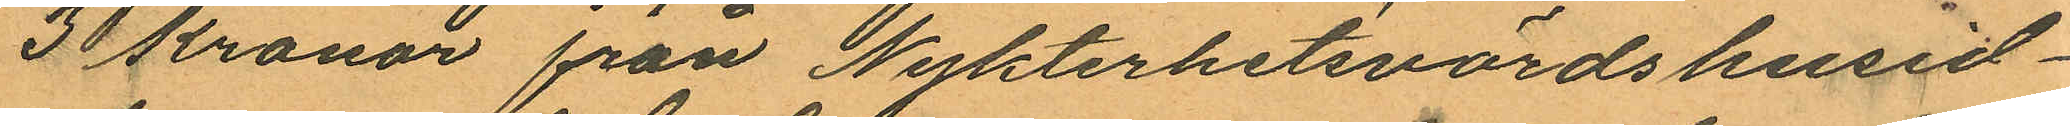3 kronor från Nykterhetsvärdshusid¬
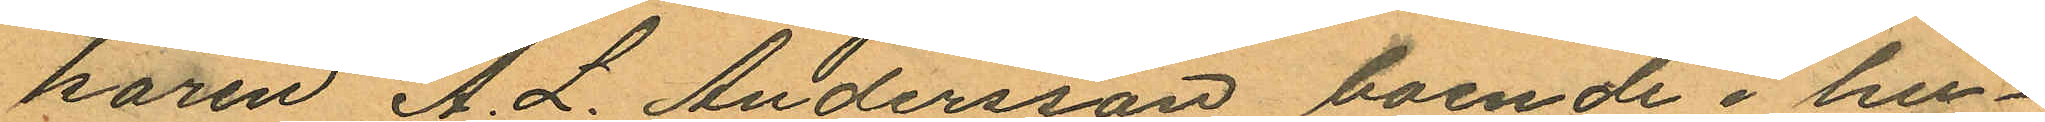karen A. L. Andersson boende i hu¬
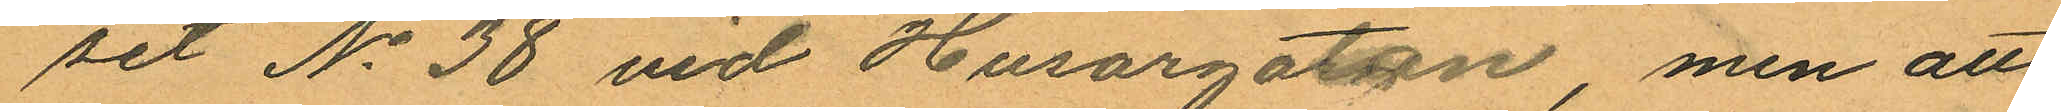set No 38 vid Husargatan, men att
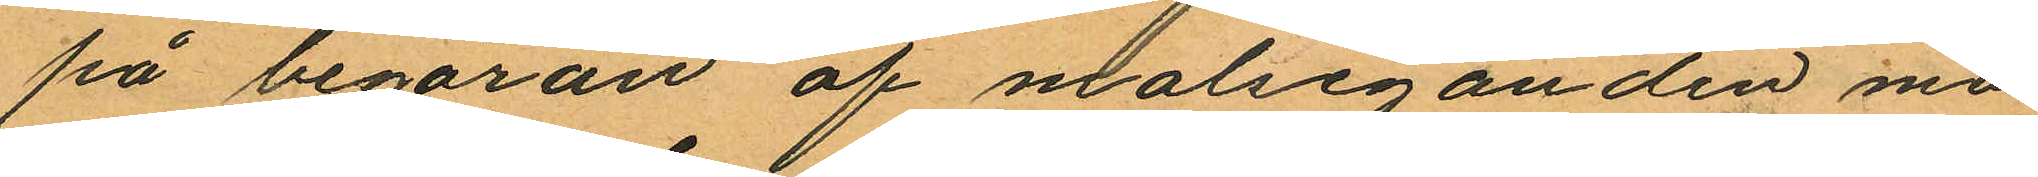på begäran af malseganden må¬
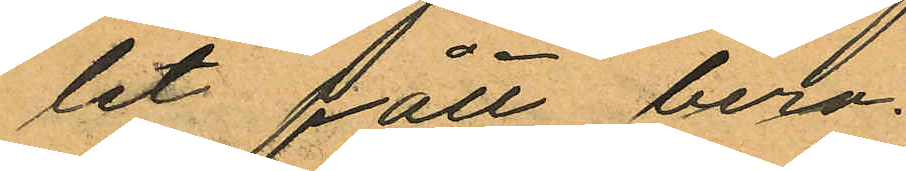let fått bero.
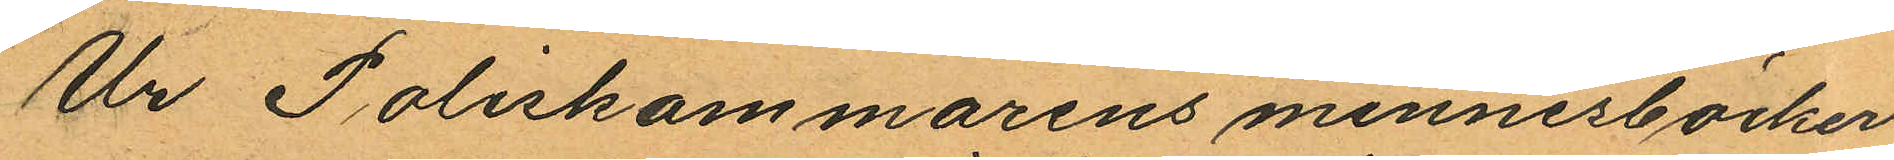Ur Poliskammarens minnesböcker
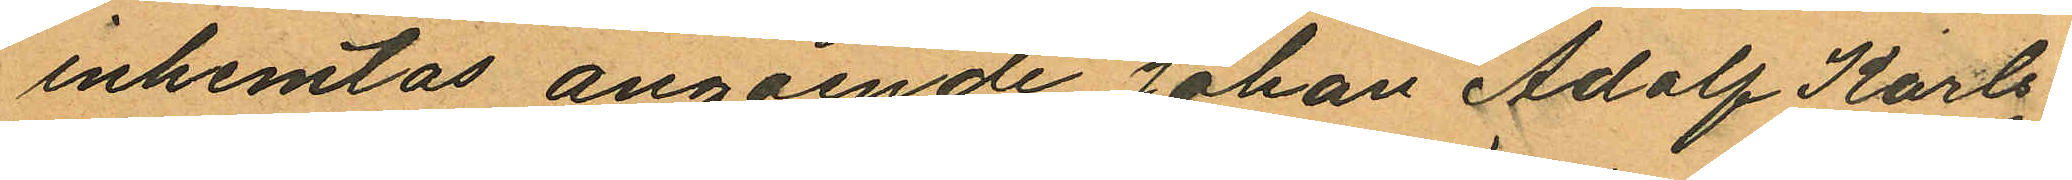inhemtas angående Johan Adolf Karls¬
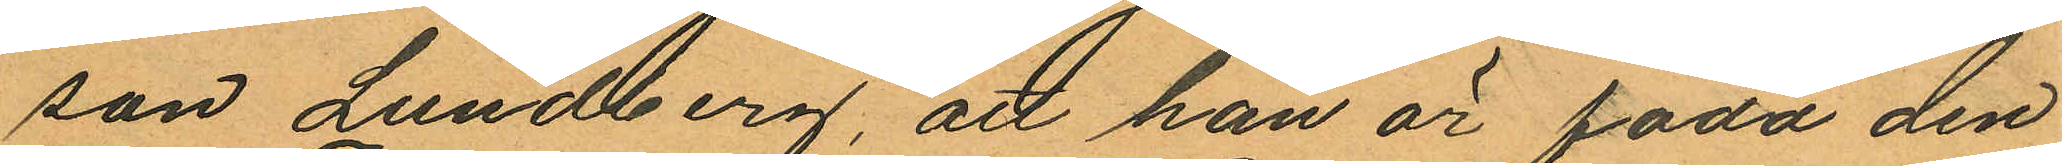son Lundberg, att han är född den
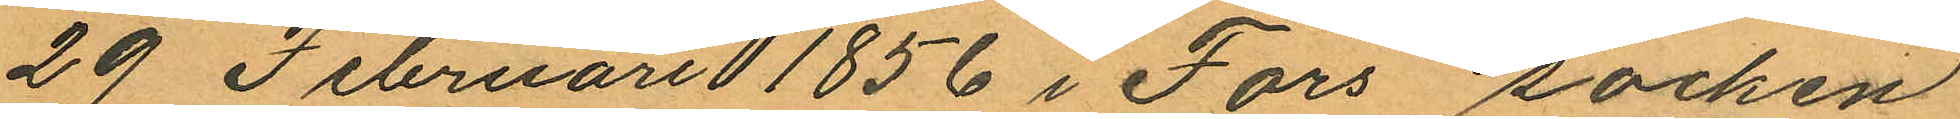29 Februari 1856 i Fors socken
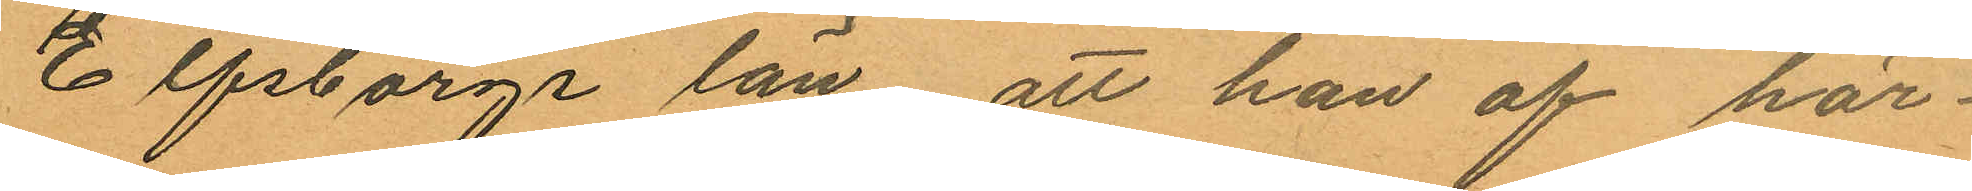Elfsborgs län att han af här¬
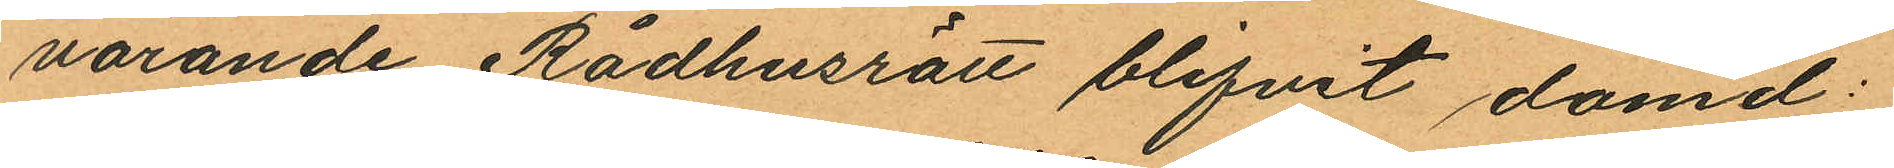varande Rådhusrätt blifvit dömd:
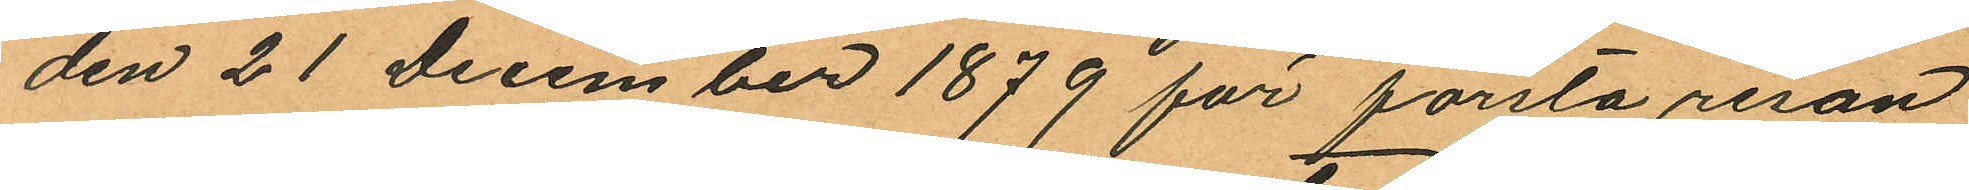den 21 December 1879 för första resan
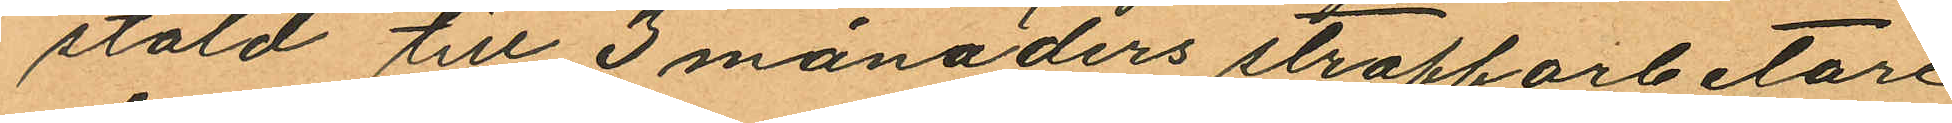stöld till 3 månaders straffarbetare
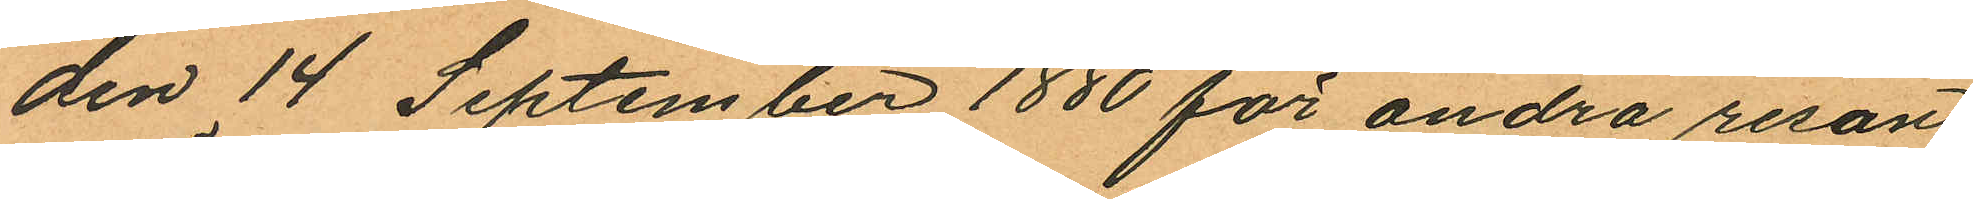den 14 September 1880 för andra resan
